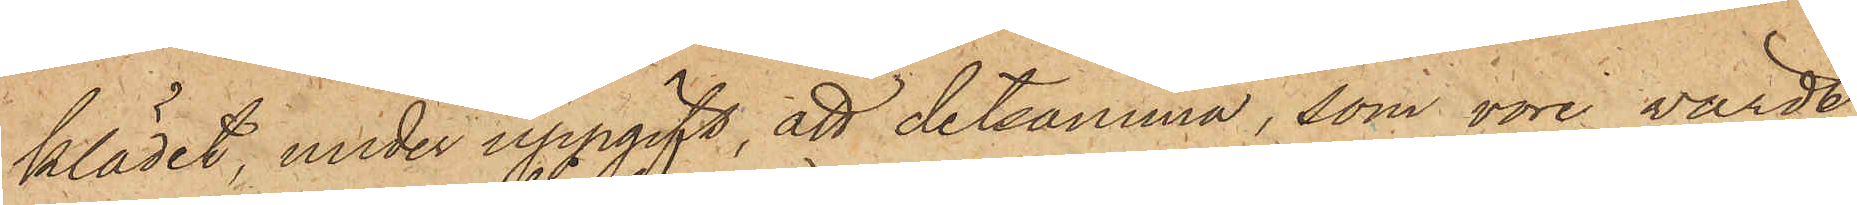klädet, under uppgift, att detsamma, som vore värdt
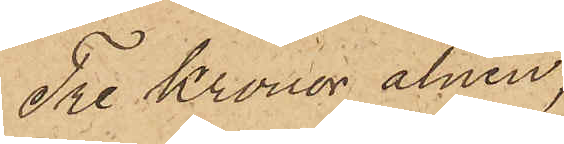Tre Kronor alnen,
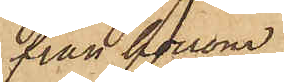från honom
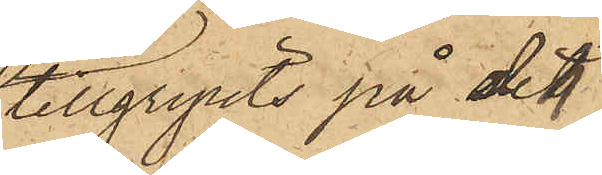tillgripits på det
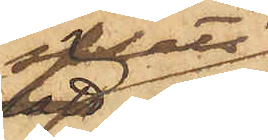sätt
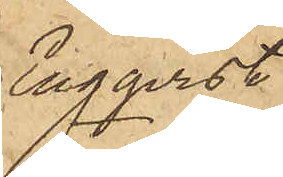Engqvist
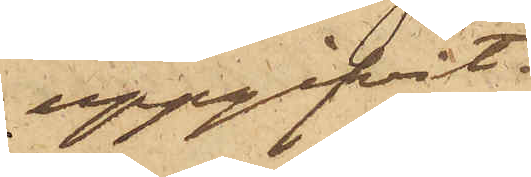uppgifvit.
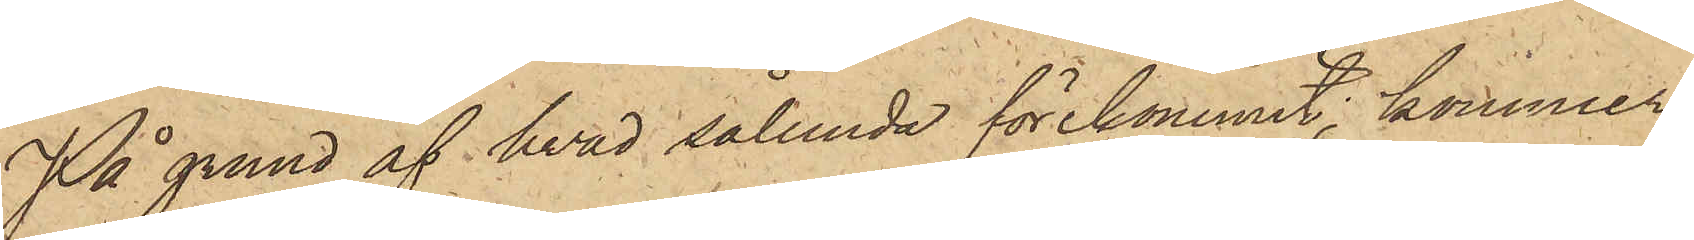På grund af hvad sålunda förekommit, kommer
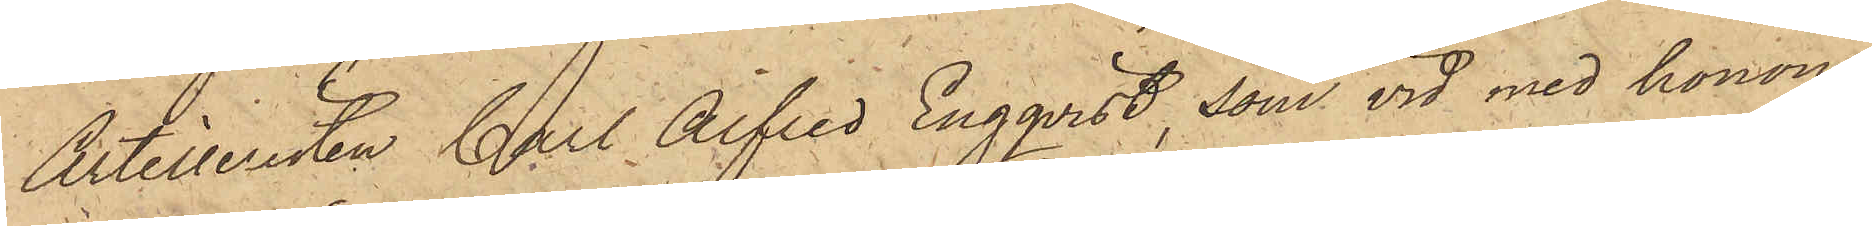Artilleristen Carl Alfred Engqvist, som vid med honom
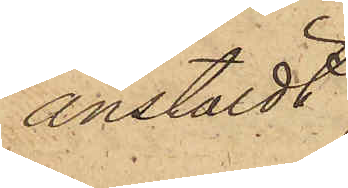anstäldt
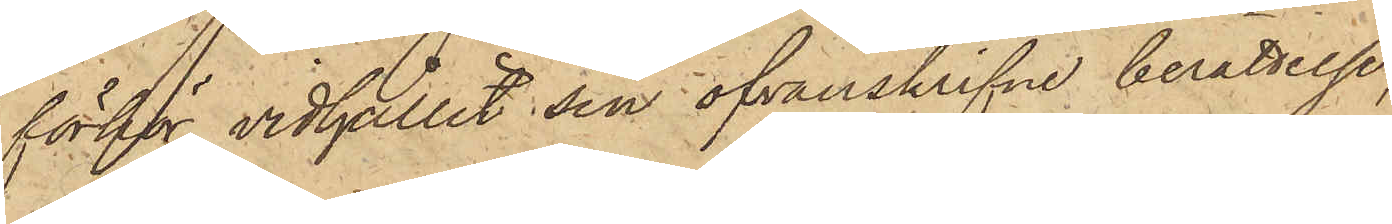förhör vidhållit sin ofvanskrifne berättelse,
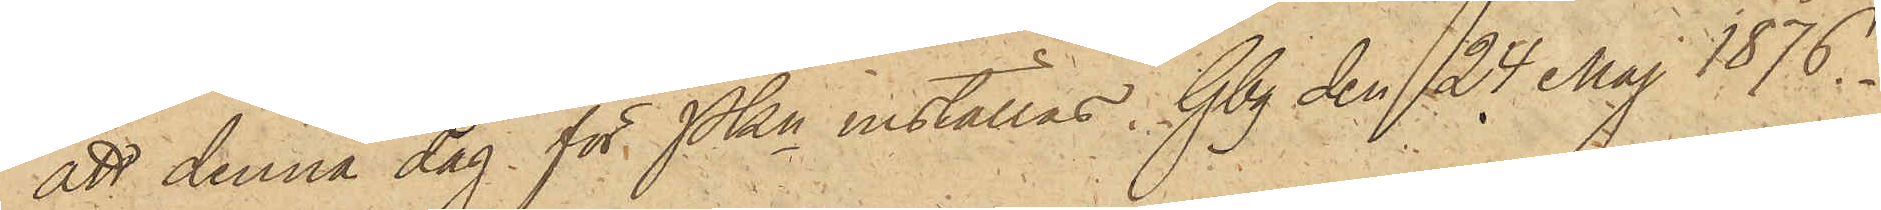att denna dag för PKn inställas. Gbg den 24 Maj 1876.
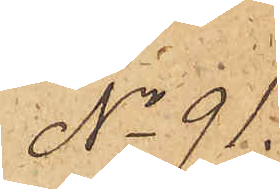No 91
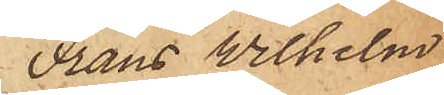Frans Wilhelm
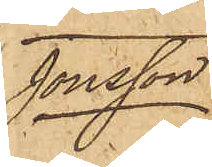Jonsson
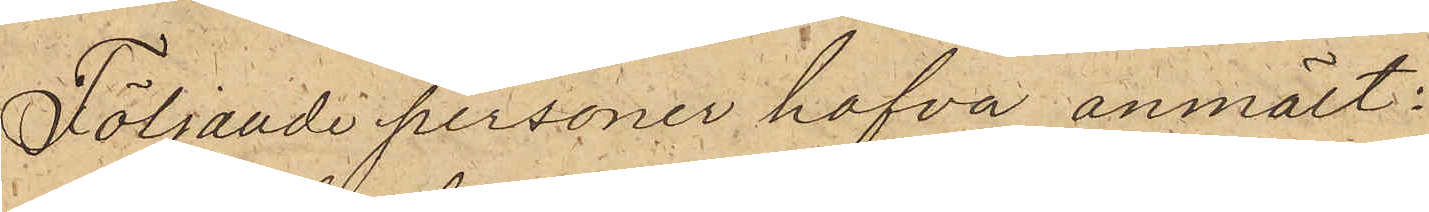Följande personer hafva anmält:
